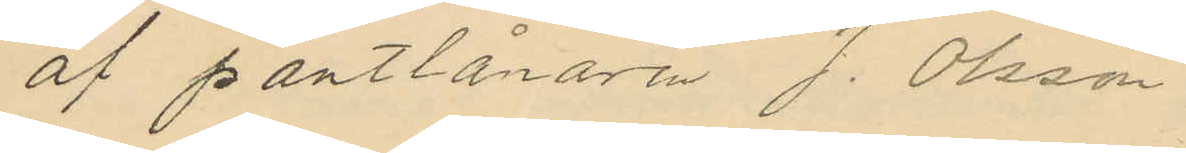af pantlånaren J. Olsson
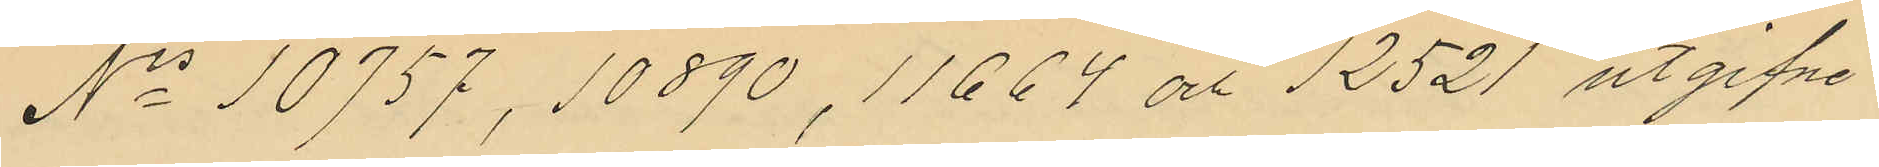No 10757, 10890, 11664 och 12521 utgifne
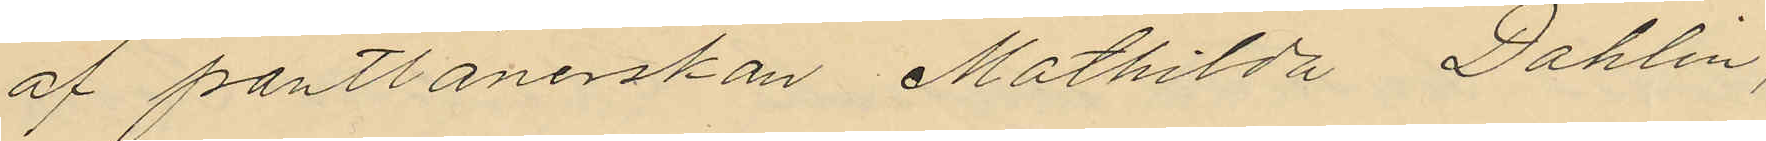af pantlånerskan Mathilda Dahlin,
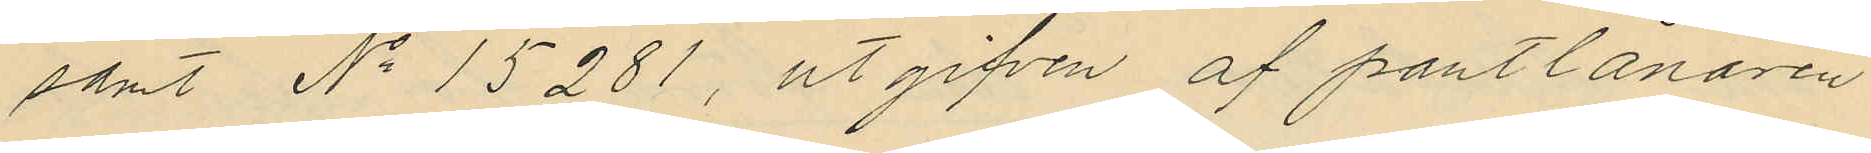samt No 15281, utgifven af pantlånaren
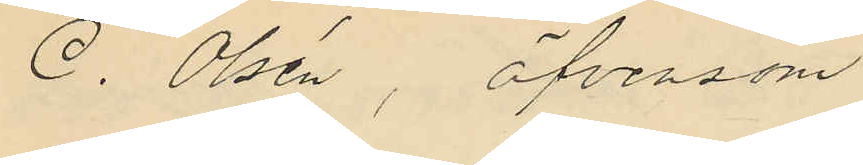C. Olsén, äfvensom
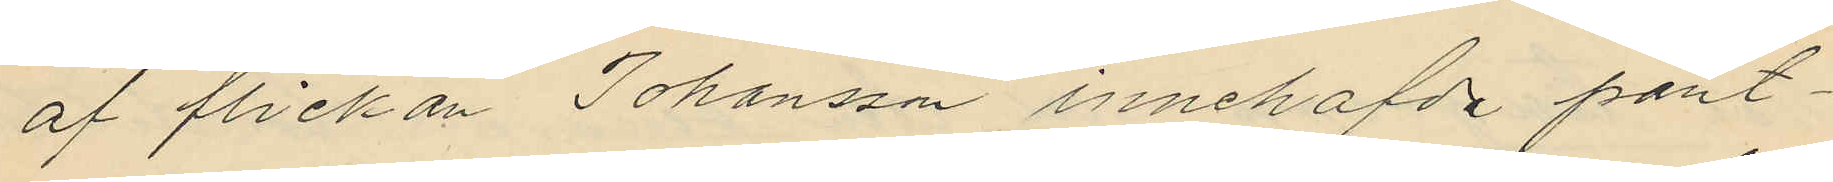af flickan Johansson innehafde pant¬
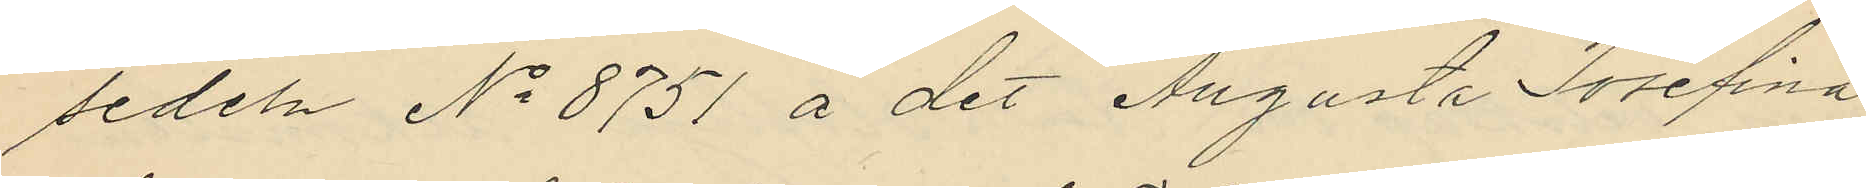sedeln No 8751 å det Augusta Josefina
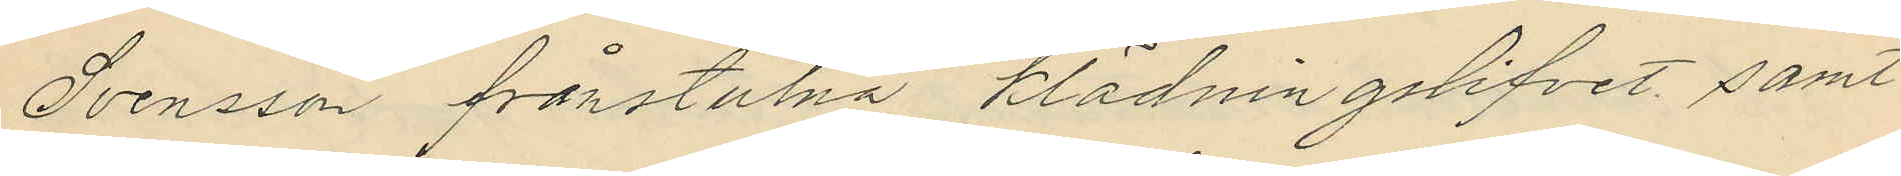Svensson frånstulna klädningslifvet samt
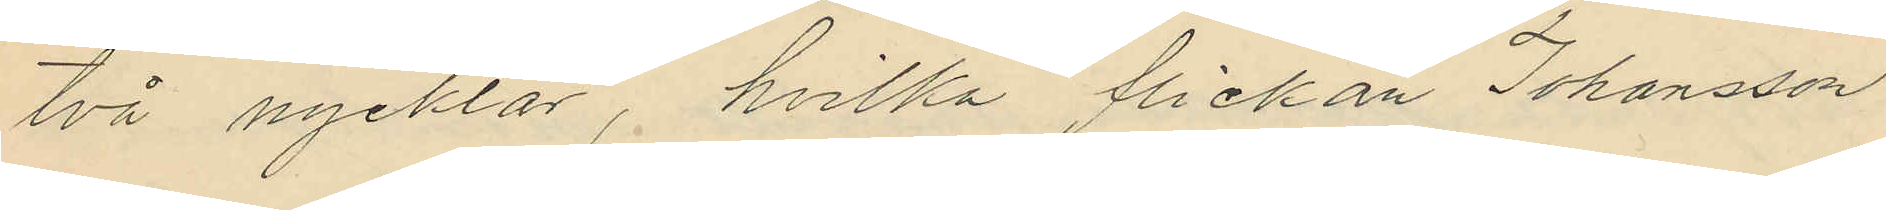två nycklar, hvilka flickan Johansson
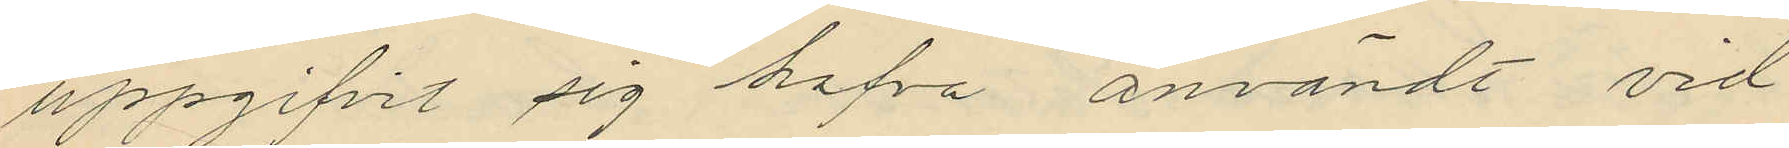uppgifvit sig hafva användt vid
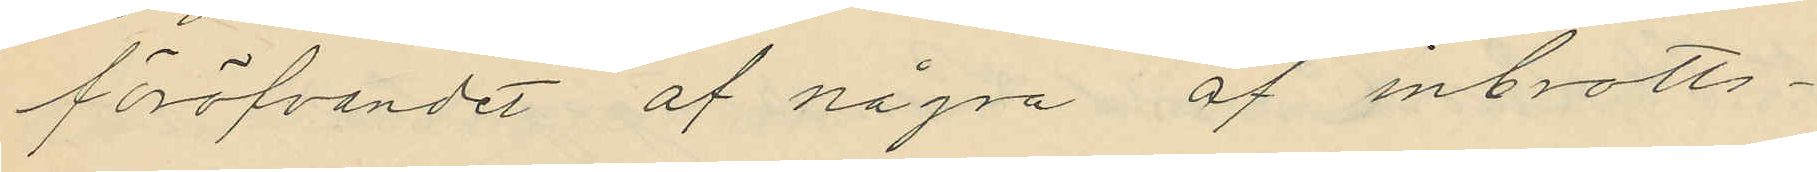föröfvandet af några af inbrotts¬
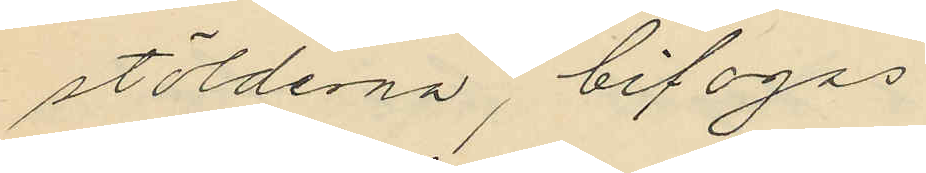stölderna, bifogas.
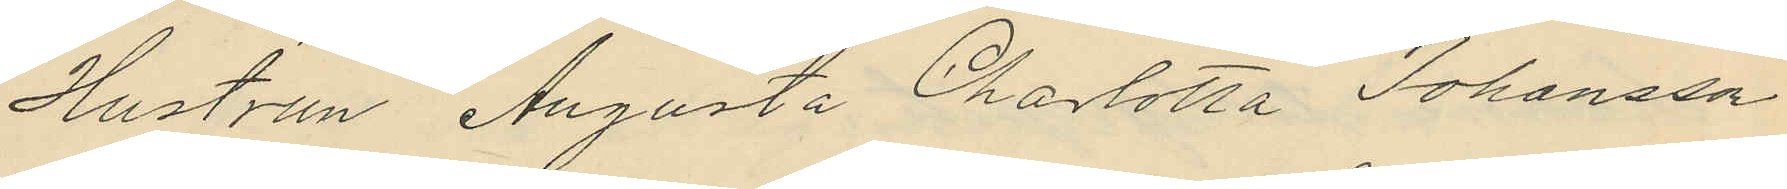Hustrun Augusta Charlotta Johansson
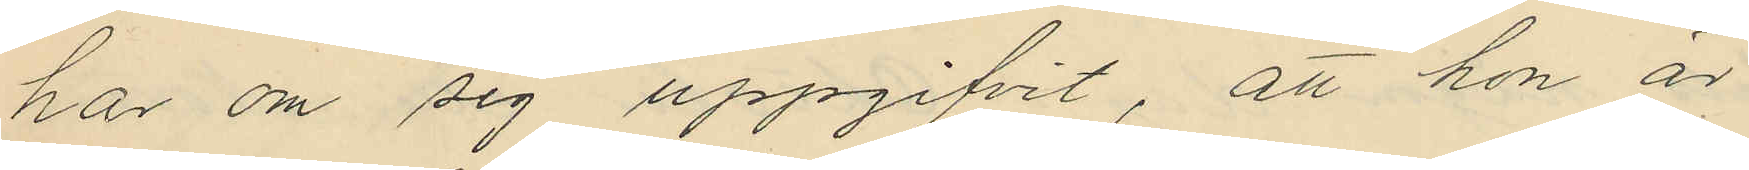har om sig uppgifvit, att hon är
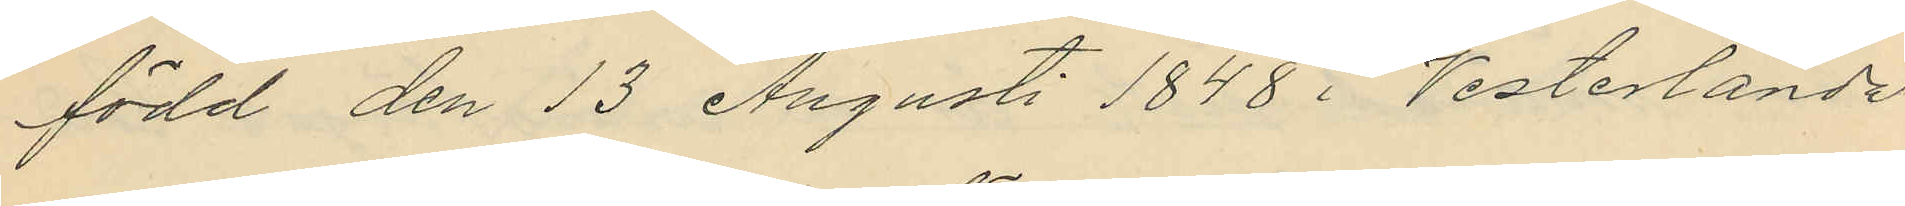född den 13 Augusti 1848 i Vesterlanda
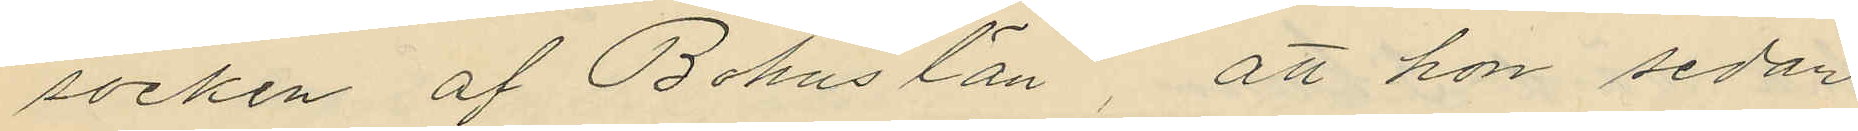socken af Bohus län, att hon sedan
